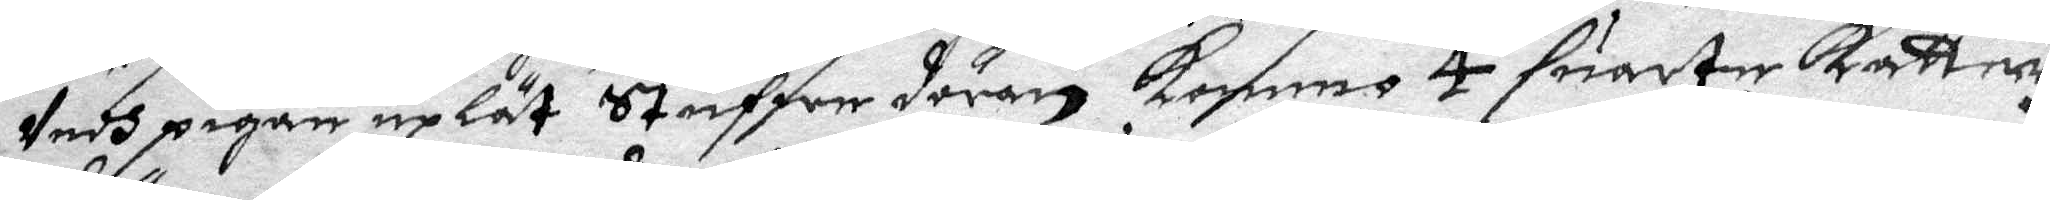Vedh pigan upLät Stufwe dören kommo 4 suarte katter
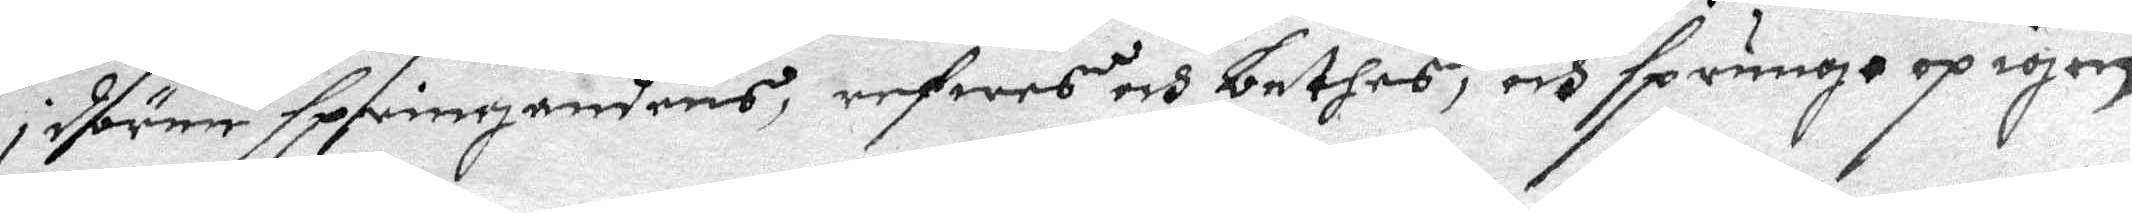i dören springandes, refwes och bethes, och sprungo op igen
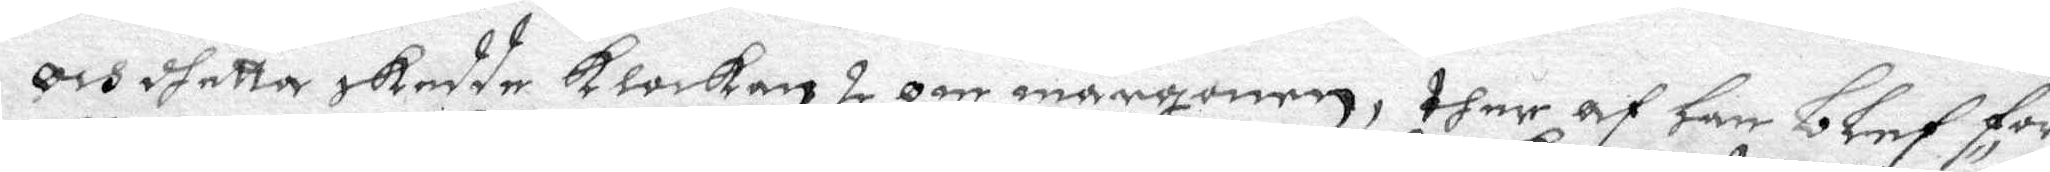och dhetta skedde klockan 2 om mårgonen, ther af Han blef för¬
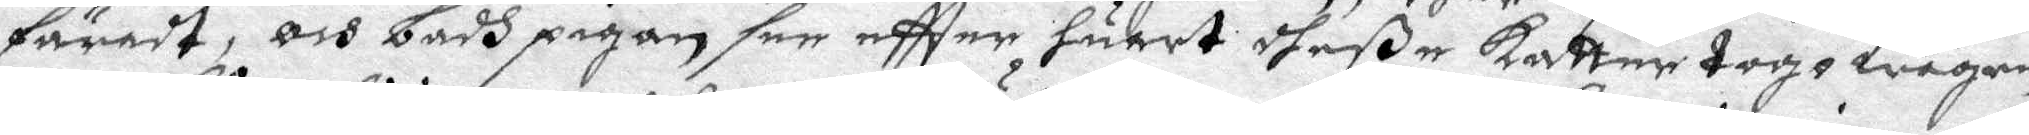färadt, och badh pigan see eftter huart dheße katter togo wägen
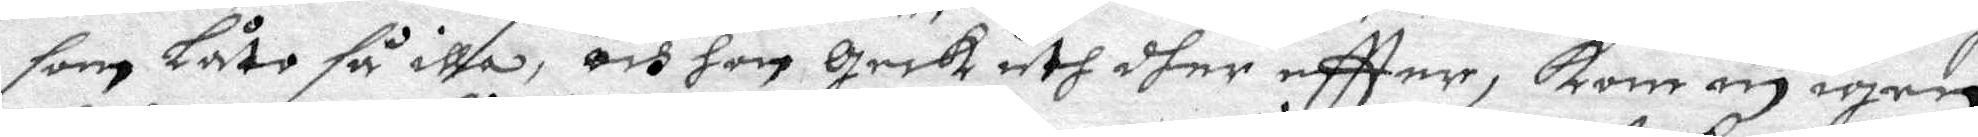som Låte så illa, och hon geck uth dher eftter, kom in igen
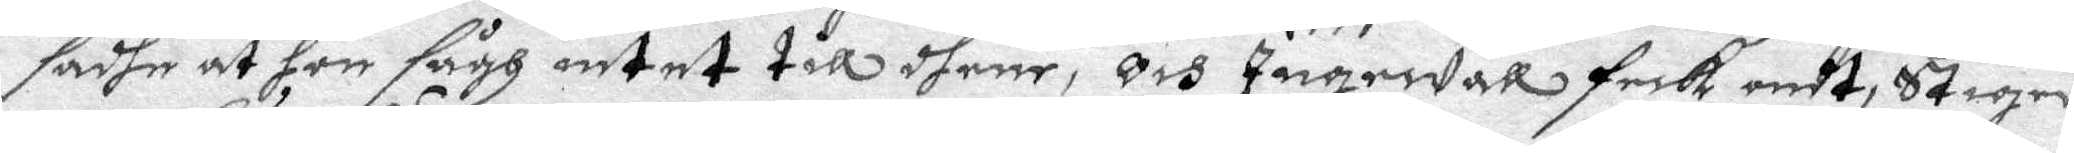sadhe at hon sågh intet till dhene, och Ingewall feck ondt. Stiger
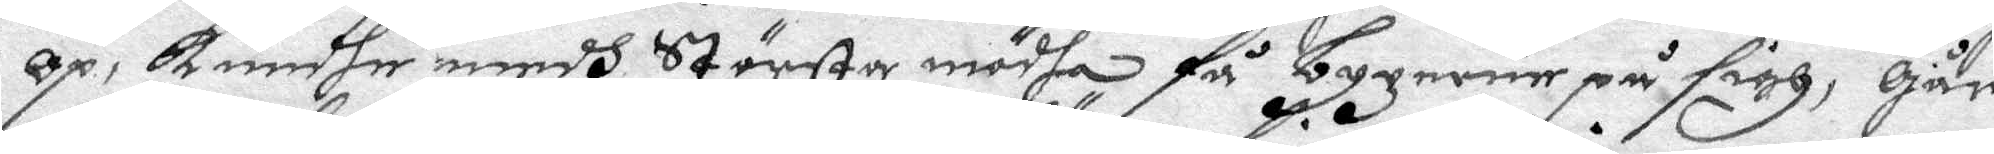op, kundhe medh Största mödha få byxorne på sigh, går
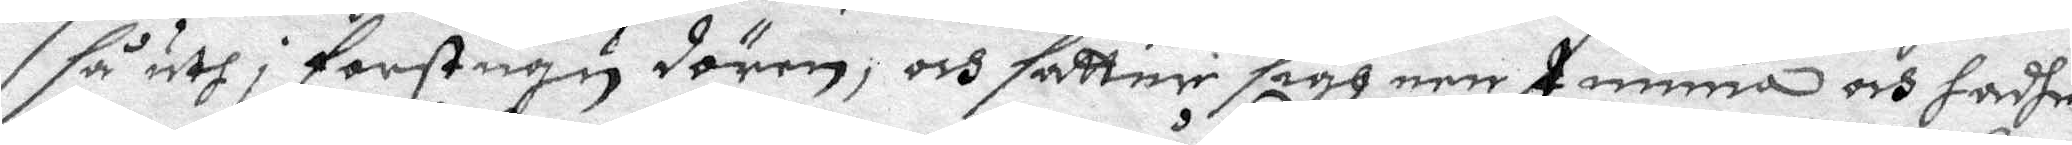så uth i Farstugu dören, och sätter sigh nertimma och hadhe
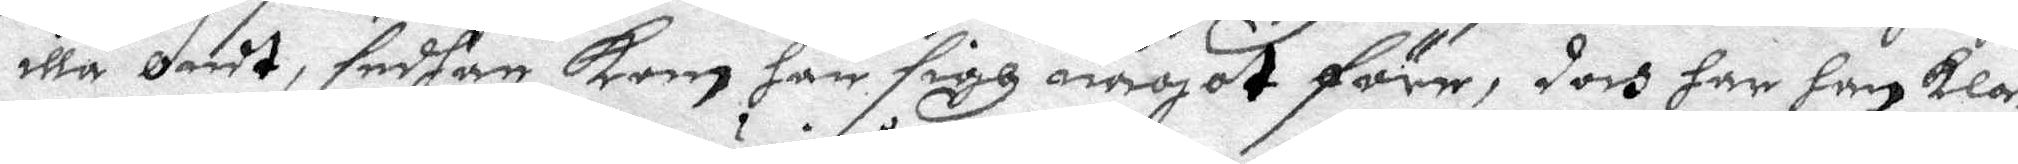illa Ondt, sedhan kom han sigh något före, doch har han kla¬
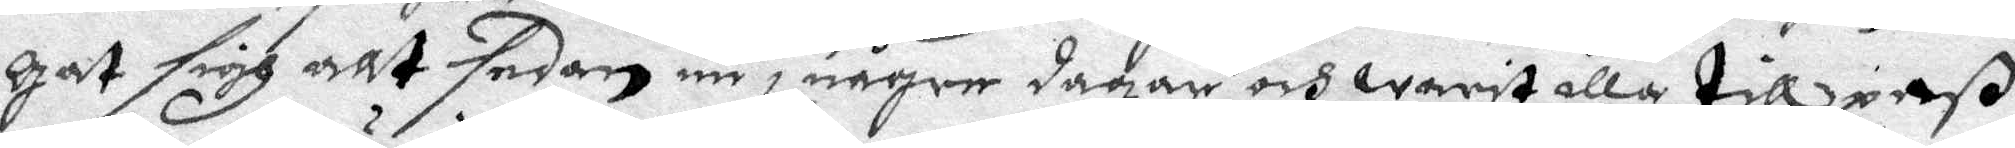gat sigh allt sedan nu i någre dagar och warit illa till paß
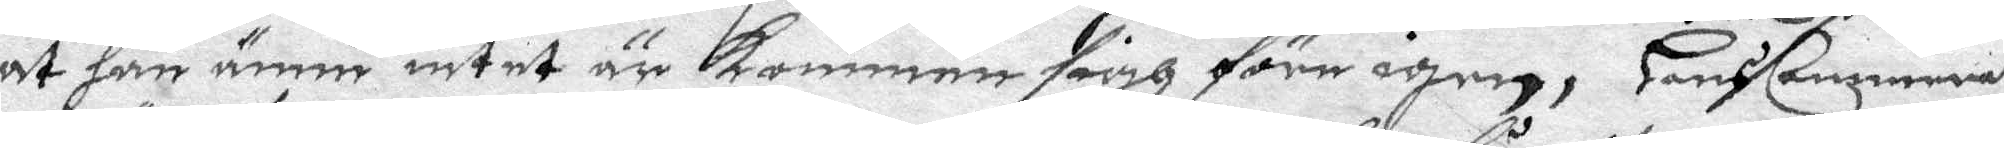at han ännu intet är kommen sigh före igen, Hans Cammerat
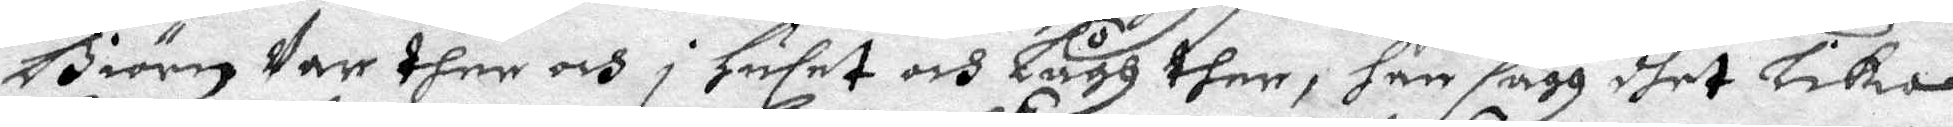Biörn Var ther och i Huset och Lågh ther, han sågh dhet Lika
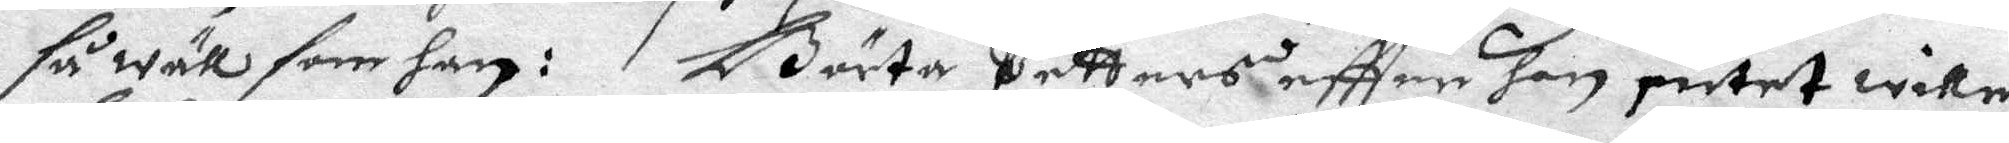så wäll som han: Börta Petters eftter hhon intet wille
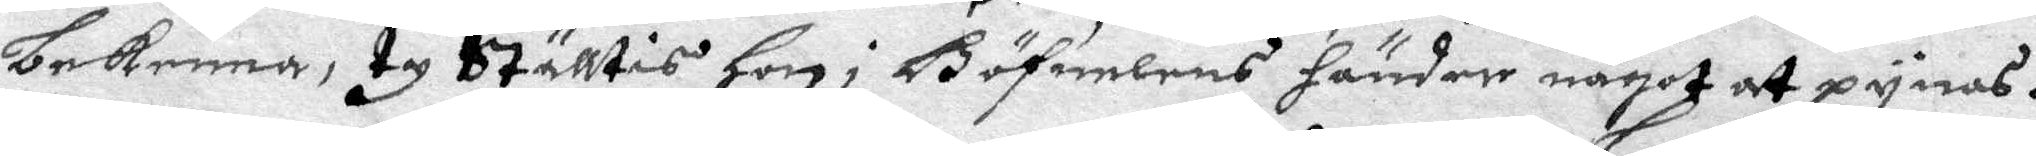bekenna, ty Ställtis Hon i Böfuelens händer något at pynas.
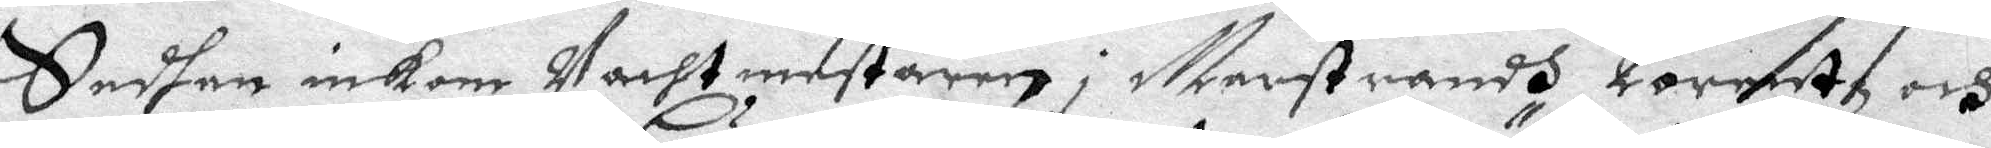Sedhan inkom Vachtmestaren i marstrandh Lorentz och
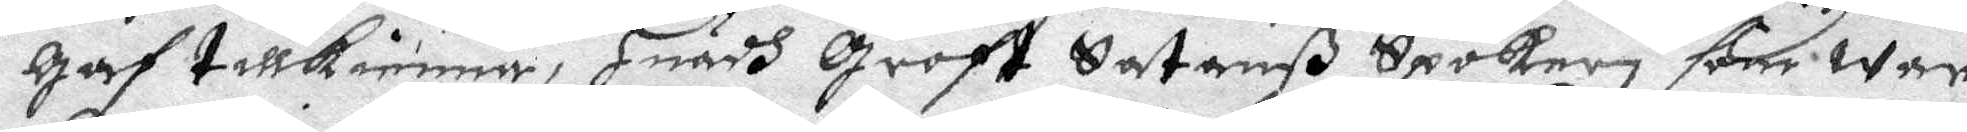gaf tillkienna, Huadh groft Satanß Spökeri som war
